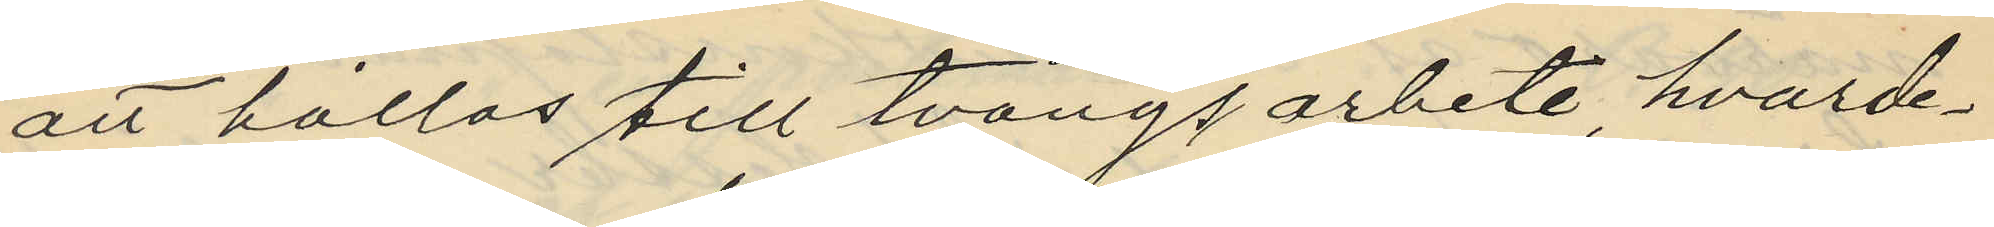att hållas till tvångsarbete hvarde¬
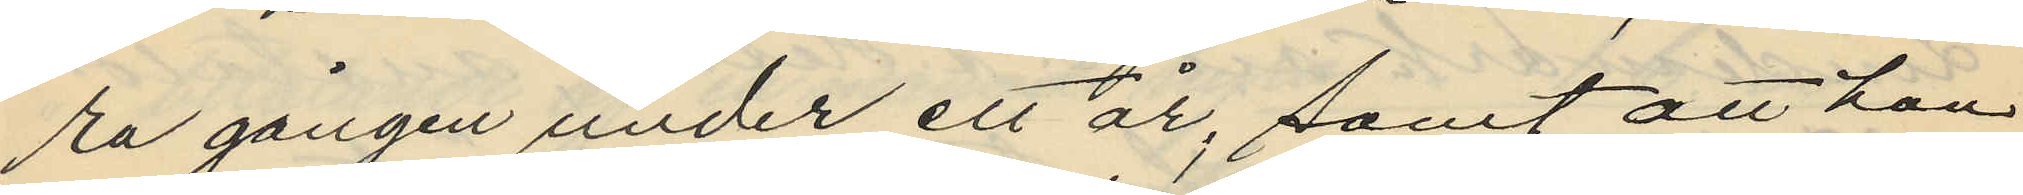ra gången under ett år; samt att han
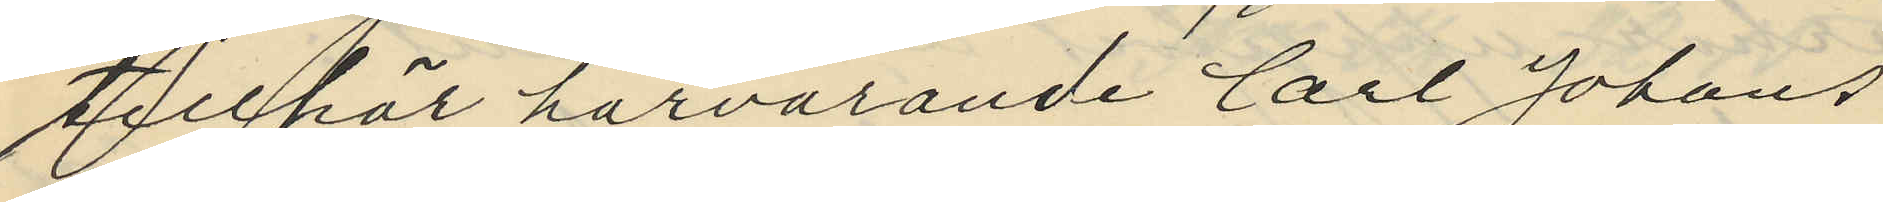tillhör härvarande Carl Johans
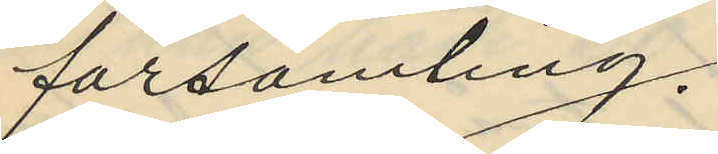församling.
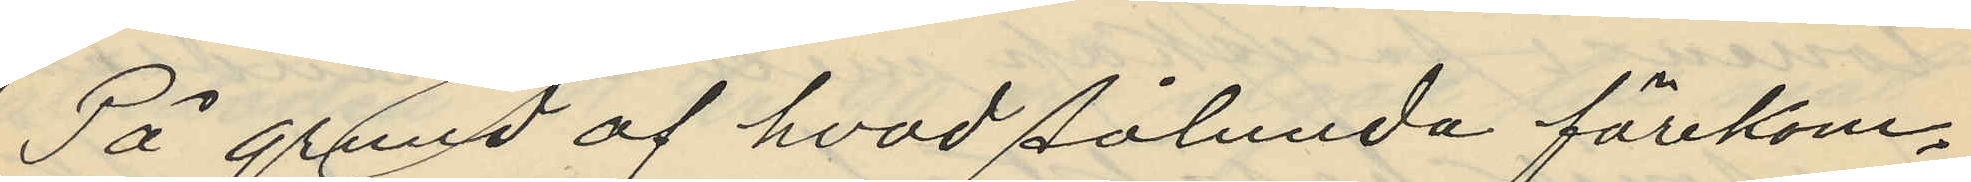På grund af hvad sålunda förekom¬
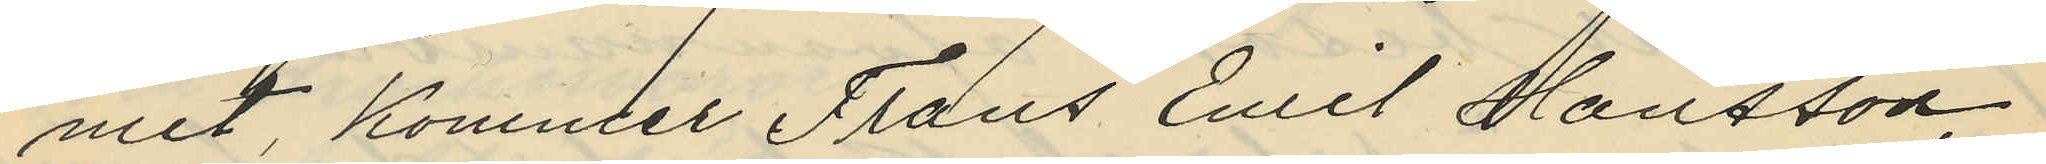mit, kommer Frans Emil Hansson,
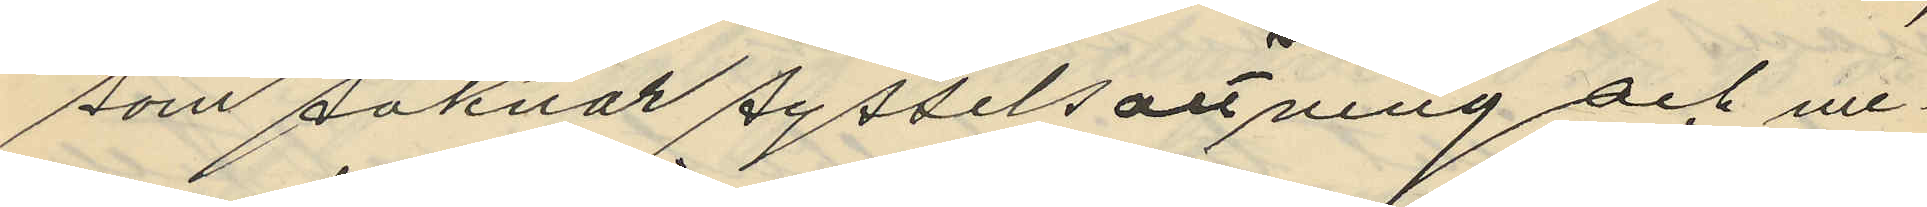som saknar sysselsättning och me¬
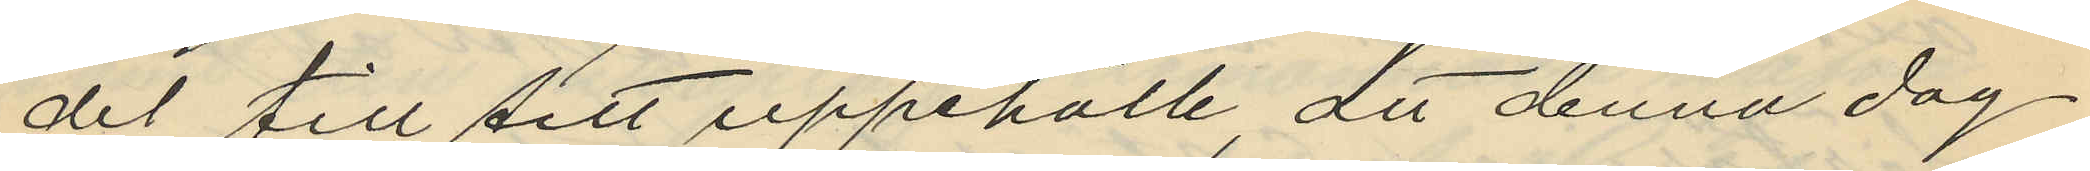del till sitt uppehälle, att denna dag
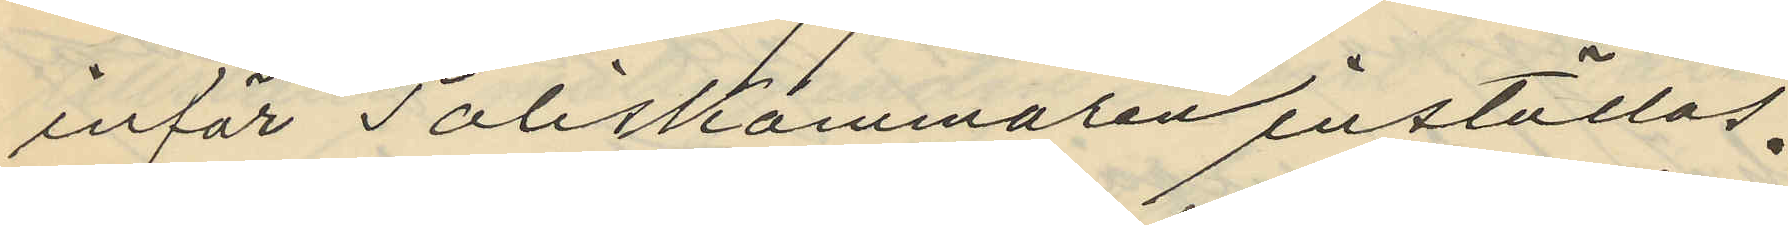inför Poliskammaren inställas.
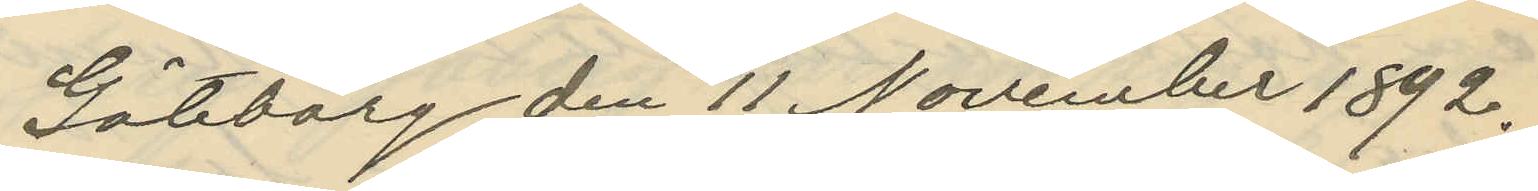Göteborg den 11 November 1892.
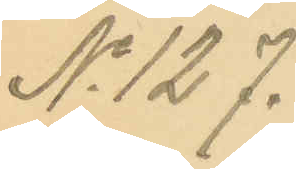No 127.
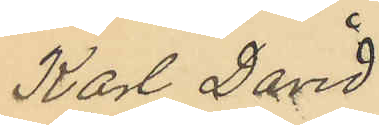Karl David
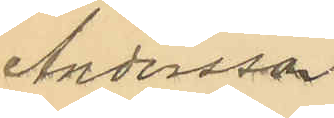Andersson
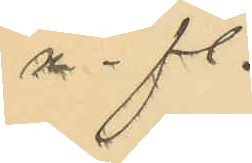m. fl.
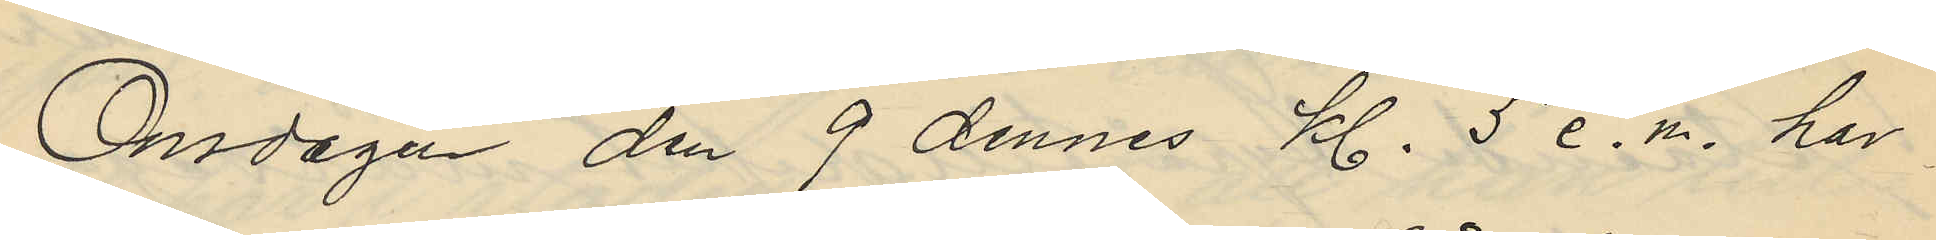Ondagen den 9 dennes Kl. 5 e.m. har
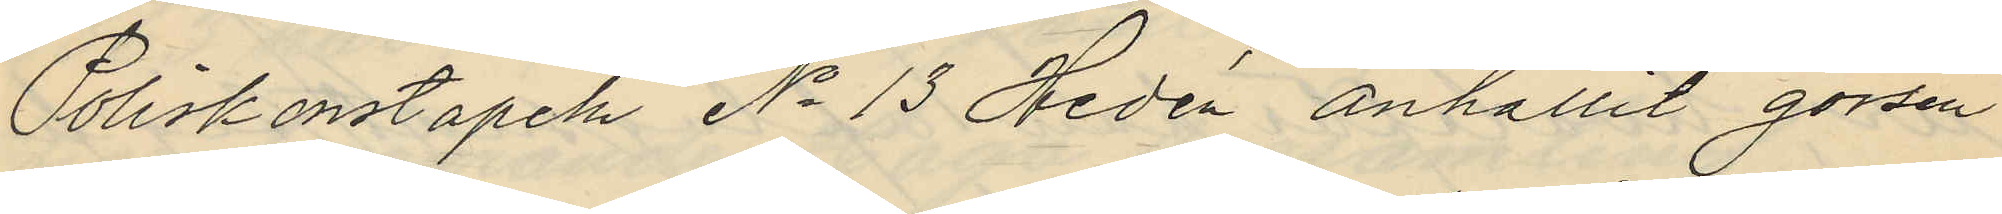Poliskonstapeln No 13 Hedén anhållit gossen
